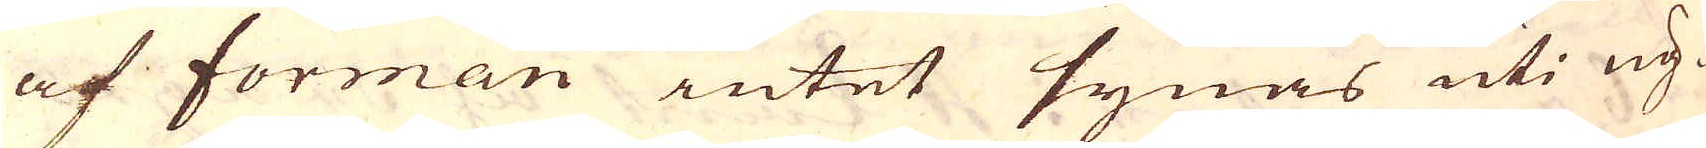af forman intet synas uti ug-
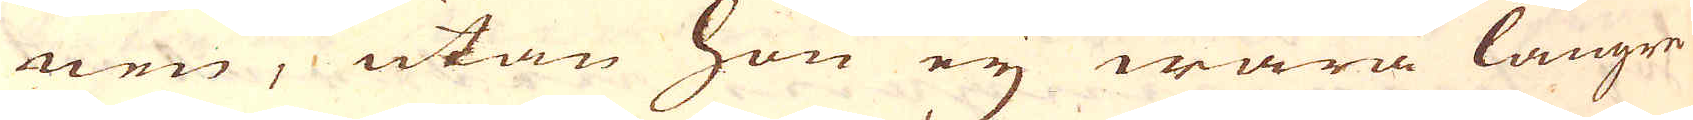nen, utan hon eij wara längre
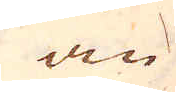än
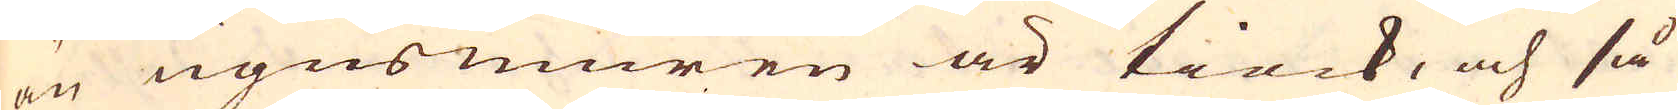än ugnsmuren är tiock, och så
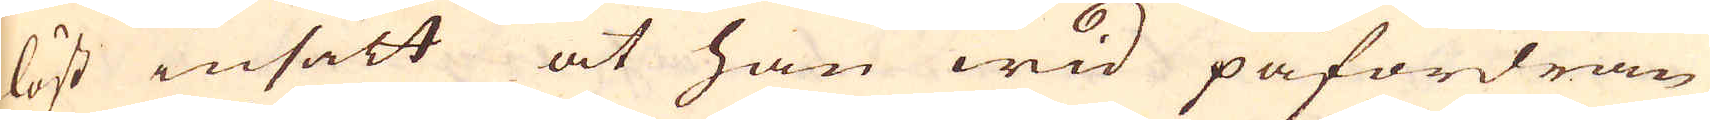löst insätt at han wid påfordran
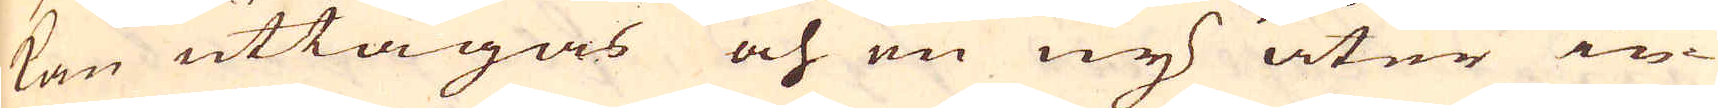kan uttagas och en ny åter in-
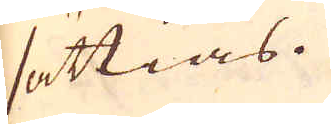sättias.
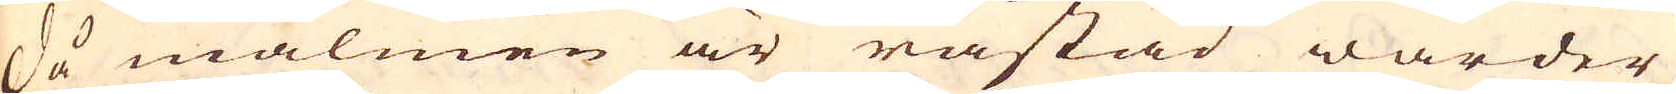Då malmen är råstad warder
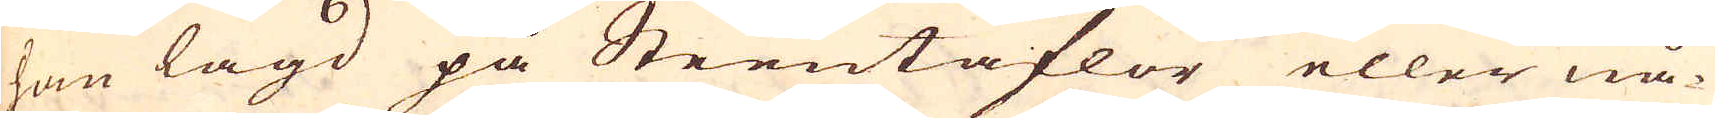han lagd på Steentaflor eller nå-
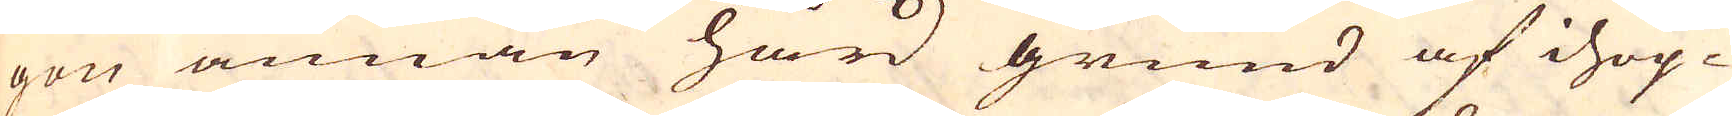gon annan hård grund af ihop-
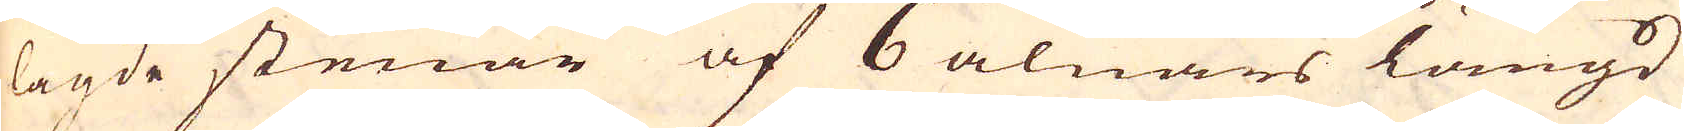lagde stenar af 6 alnars längd
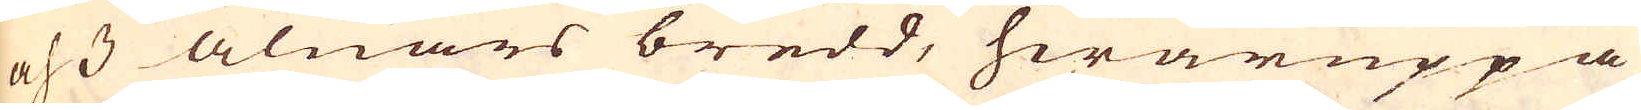och 3 alnars bredd, hwaruppå
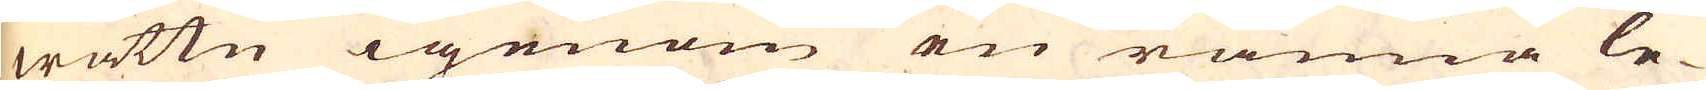wattn igenom en ränna le-
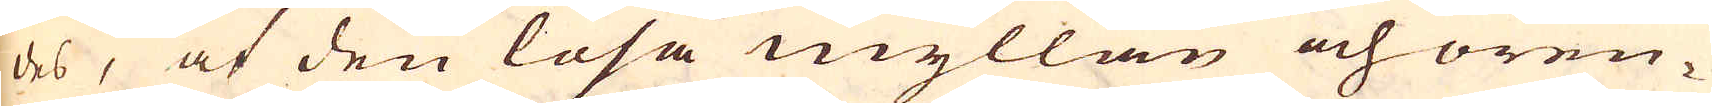des, at den lösa myllan och oren-
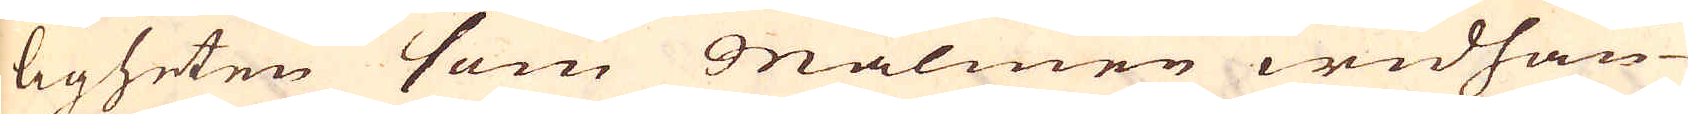ligheten som Malmen widhän-
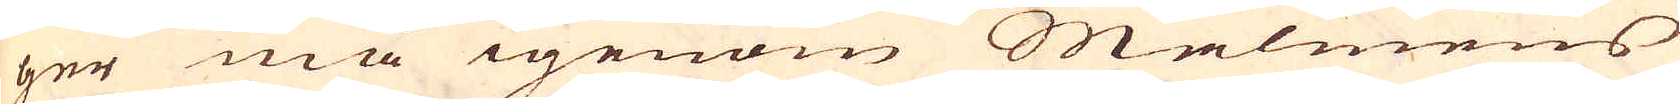ger må igenom Malmens
